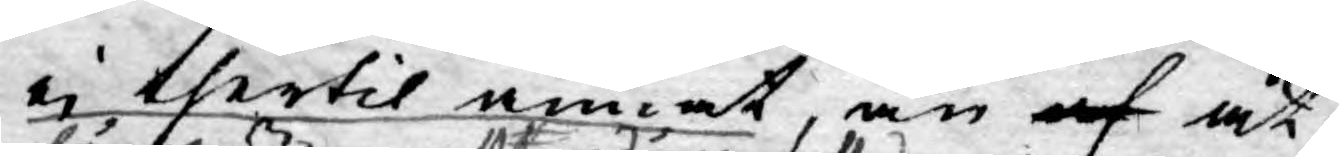ej thertil annat, än af at
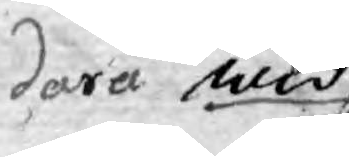derå
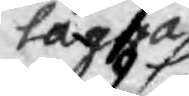lägga
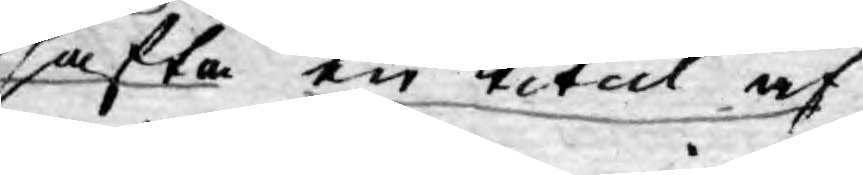wid sätta en titul af
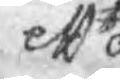ett
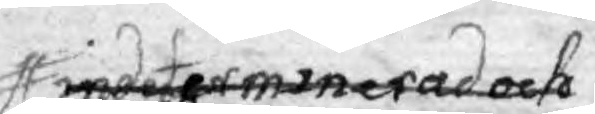indeterminerad och
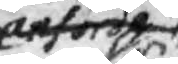anförde
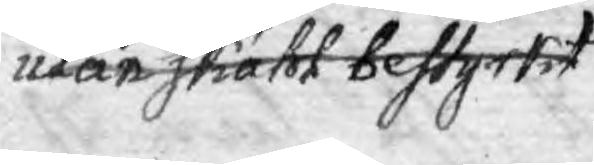utan skähl bestyrkt
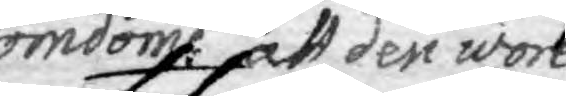omdöme att den wore
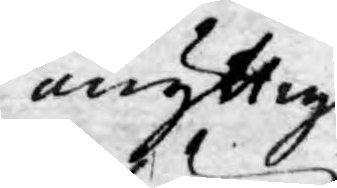onyttig,
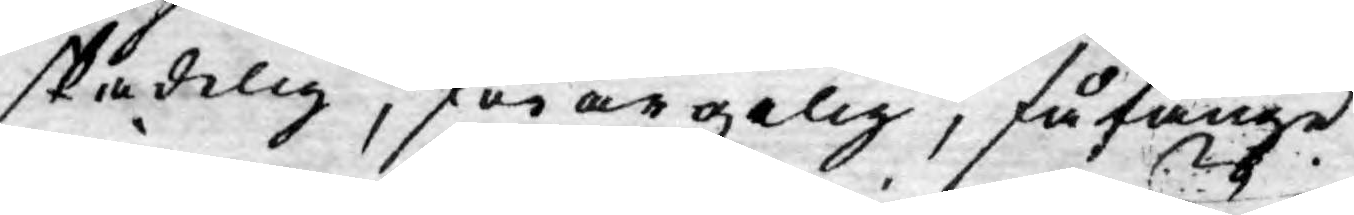skadelig, förargelig, fåfänge¬
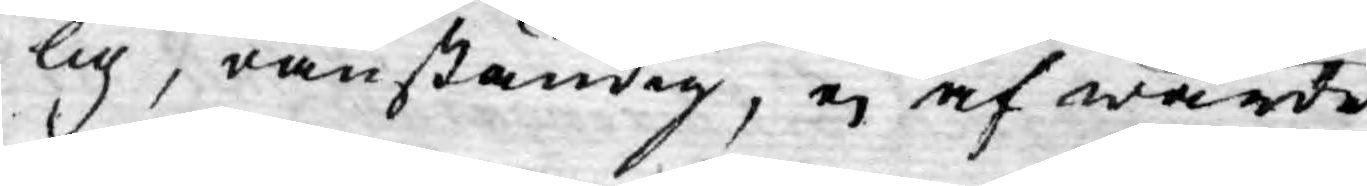lig, oanständig, ej af wärde
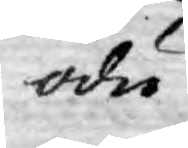odu¬
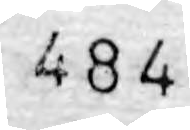484
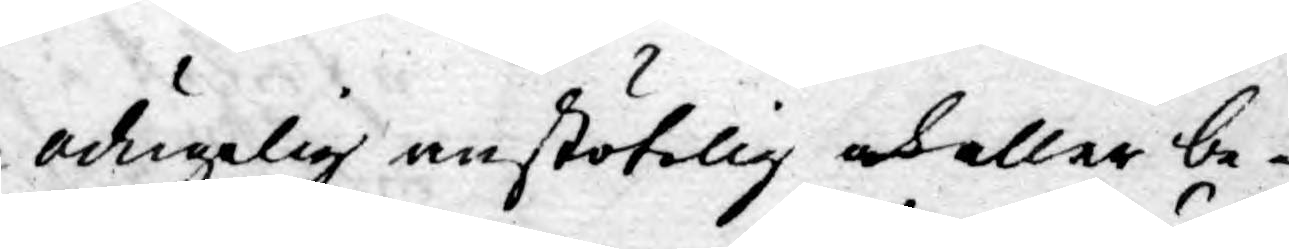odugelig anstötelig och eller be¬
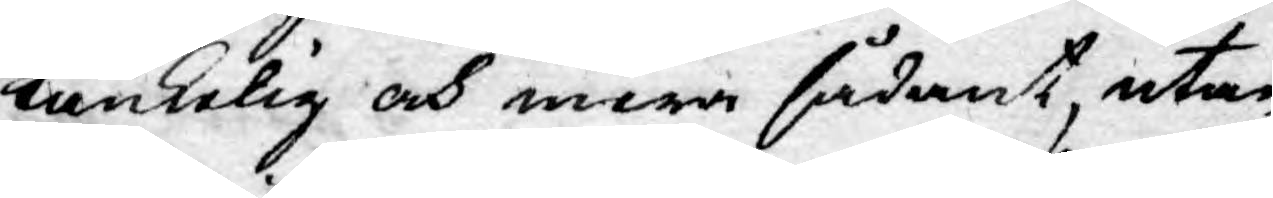tänkelig och mera sådant, utan
